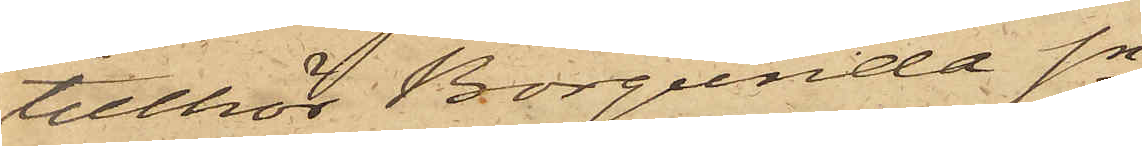tillhör Borgunda Sn.
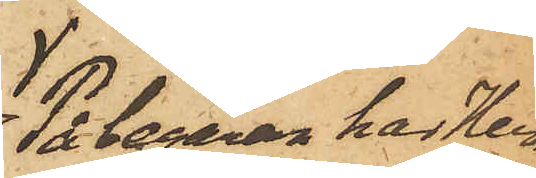På begäran har Herr
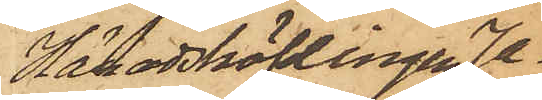Häradshöfdingen Ja¬
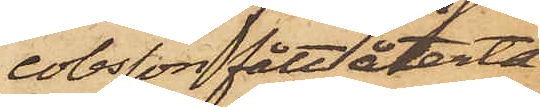cobsson fått återta¬
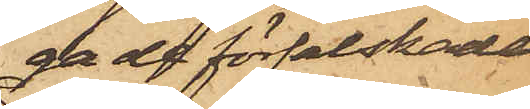ga de förfalskade
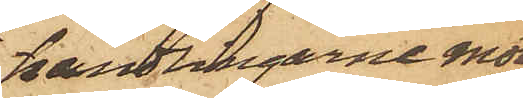handlingarne mot
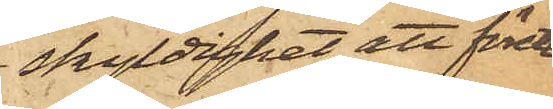skyldighet att förete
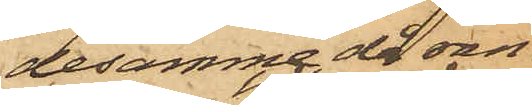desamma då ran¬
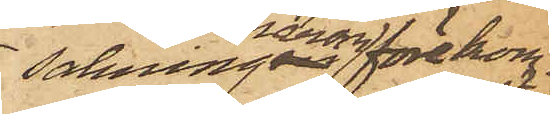sakningen härom förekom¬
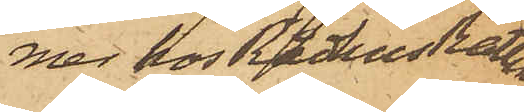mer hos RådhusRätten
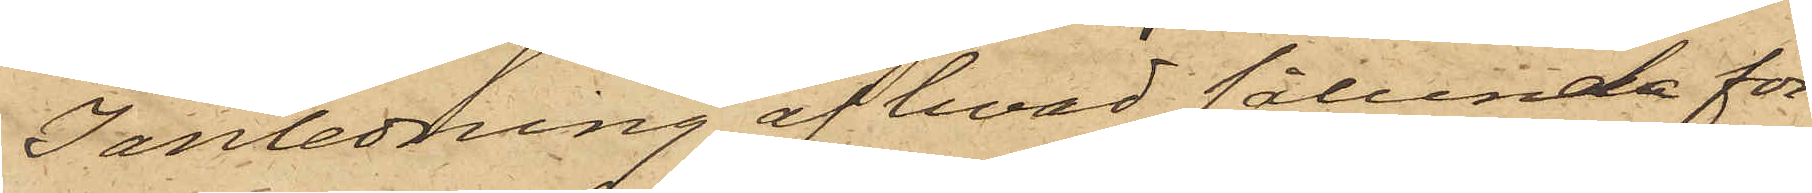I anledning af hvad sålunda före¬
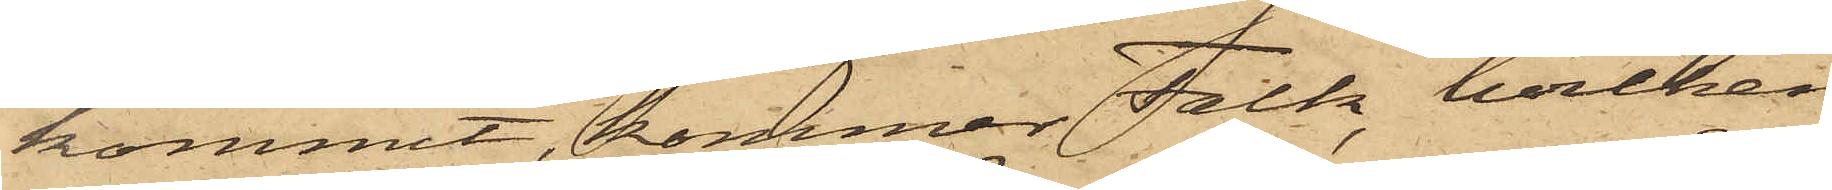kommit, kommer Falk, hvilken
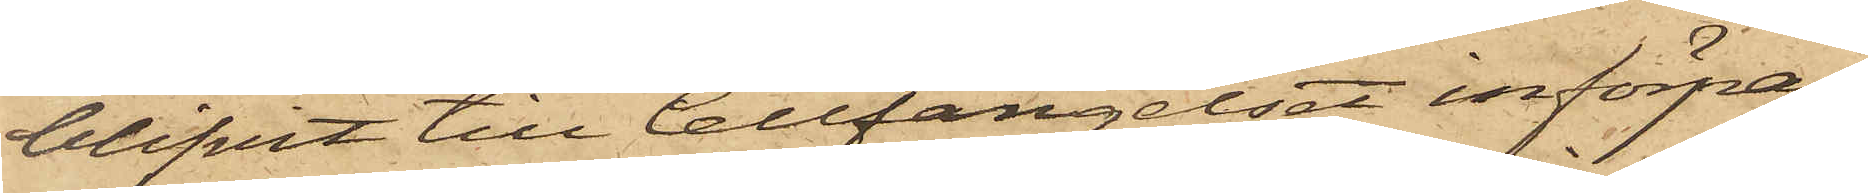blifvit till Cellfängelset införpas¬
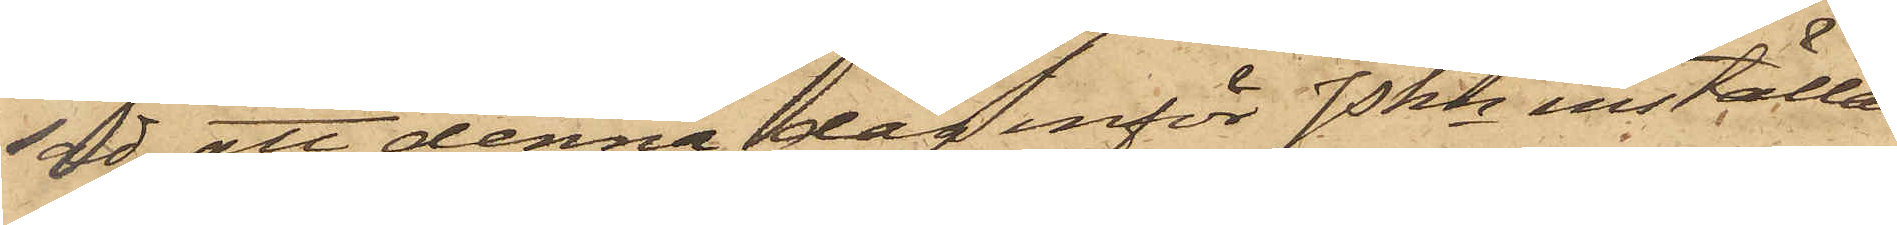sad att denna dag inför Pkn inställas.
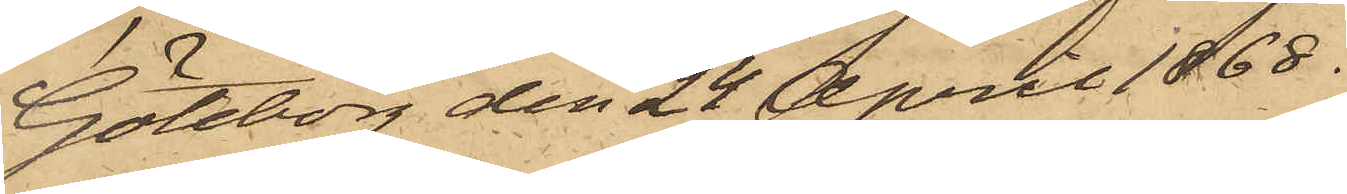Göteborg den 24 April 1868.
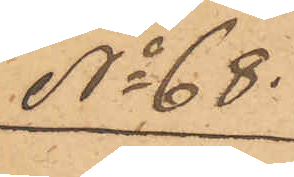No 68.
